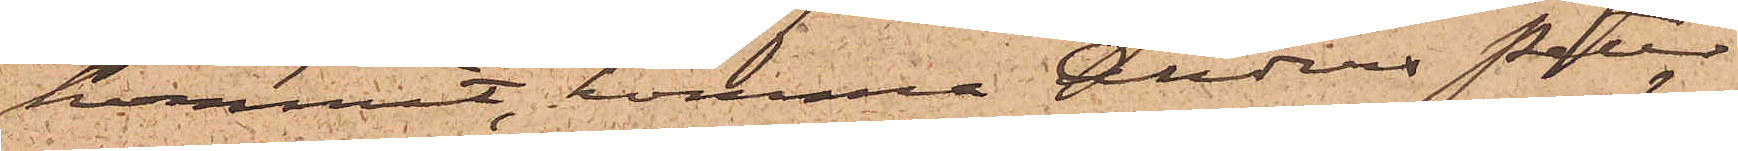kommit, komma Anders Peter
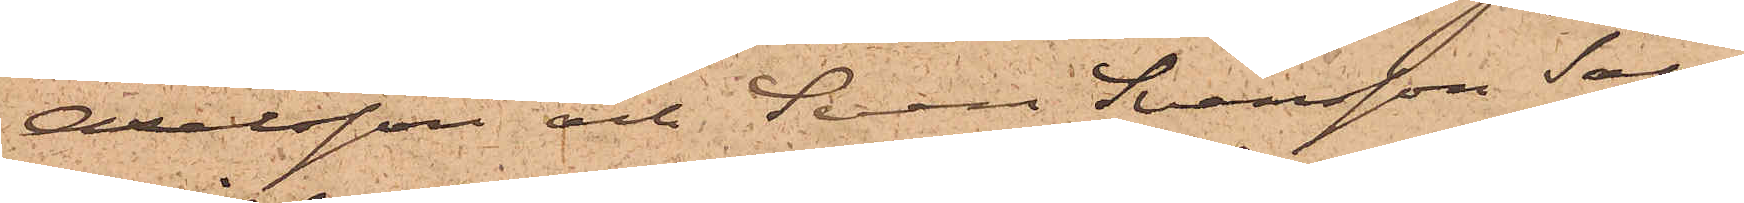Axelsson och Sven Svensson Säll,
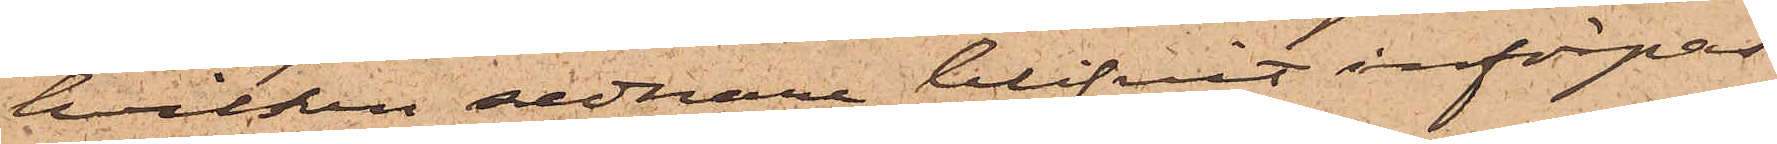hvilken sednare blifvit införpas¬
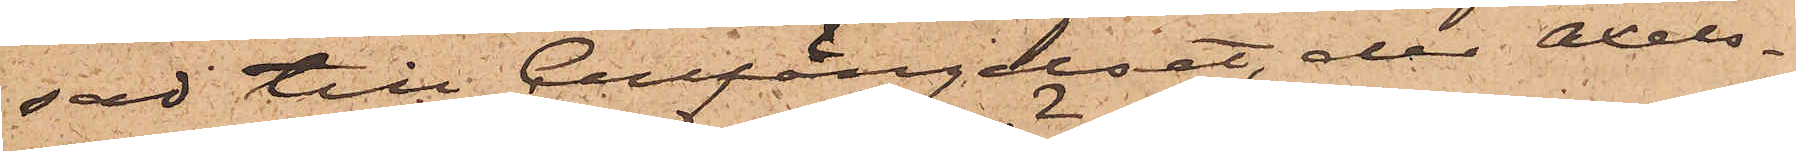sad till Cellfängelset, der Axels¬
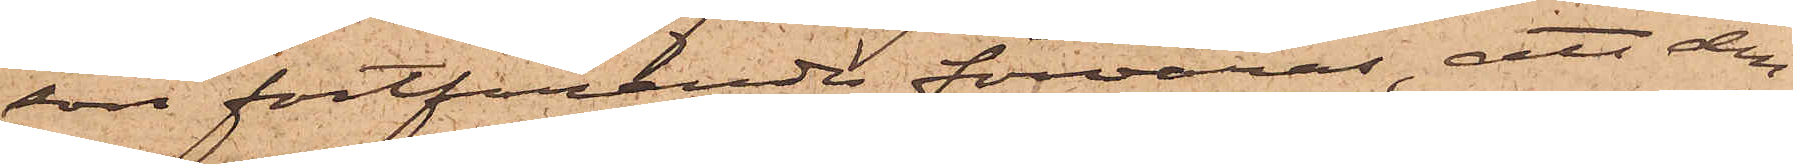son fortfarande förvaras, att den¬
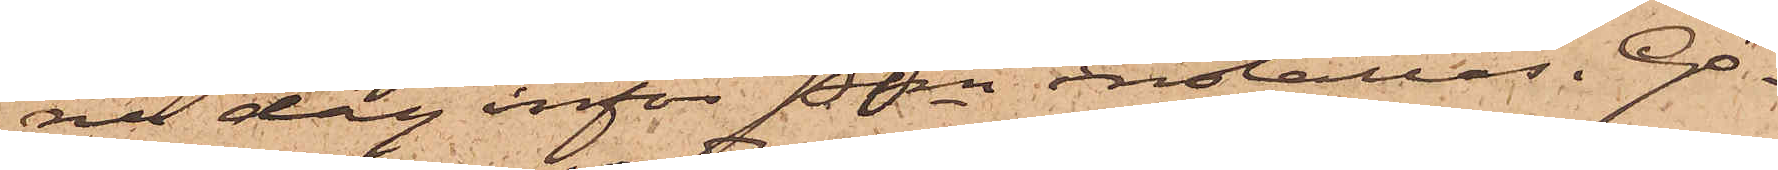na dag inför Pkn inställas. Gö¬
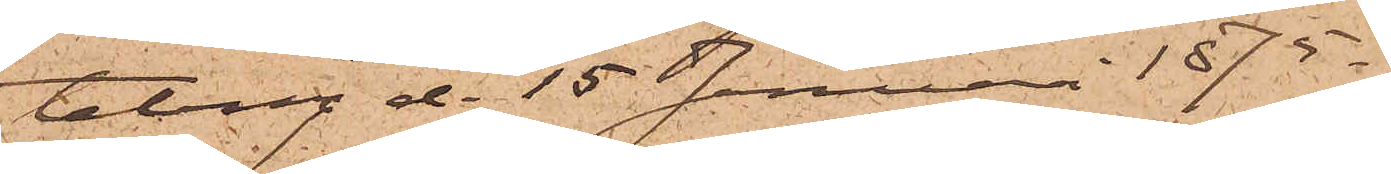teborg d. 15 Januari 1875.
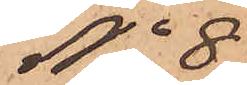No 8
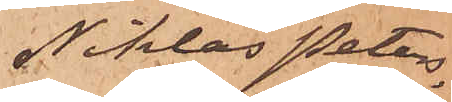Niklas Peters¬
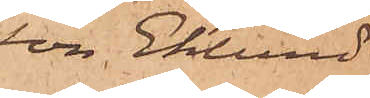son Eklund
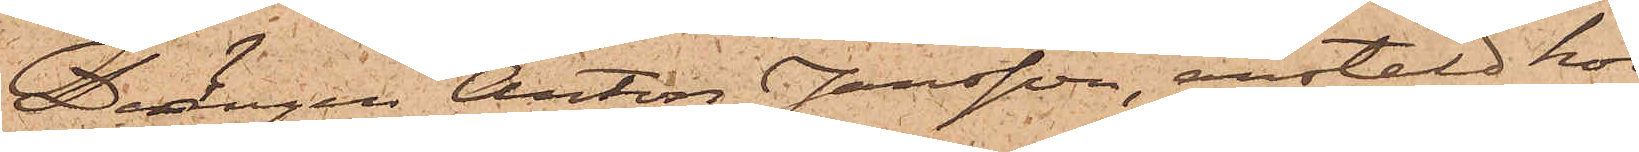Drängen Anton Jansson, anstäld hos
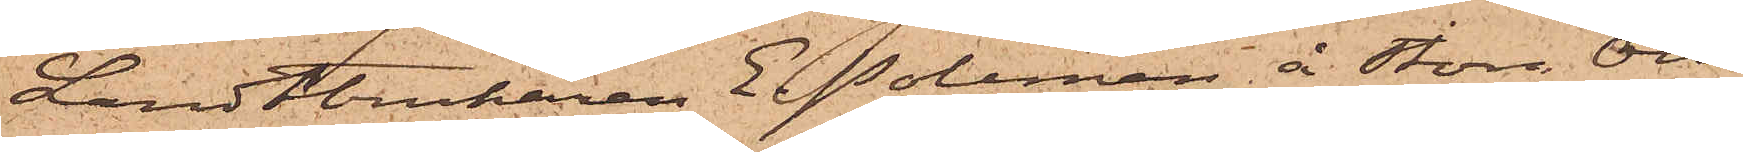Landtbrukaren E. Poleman å Stora Ols¬
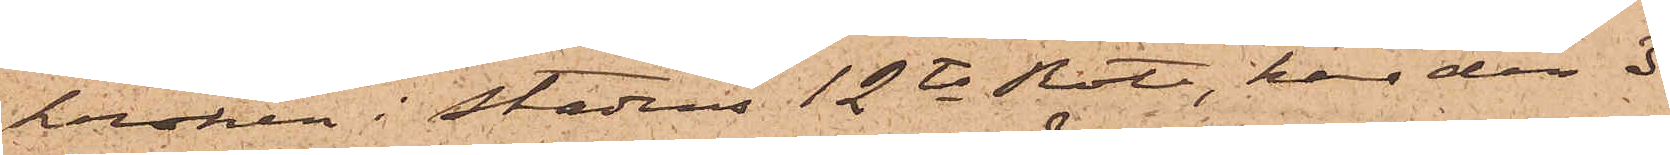kroken i Stadens 12te Rote, har den 3
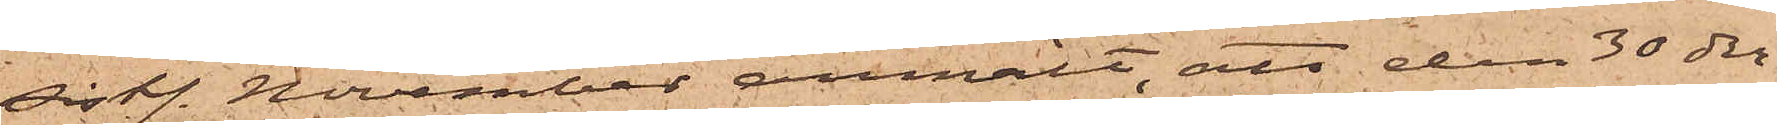sistl. November anmält, att den 30 der¬
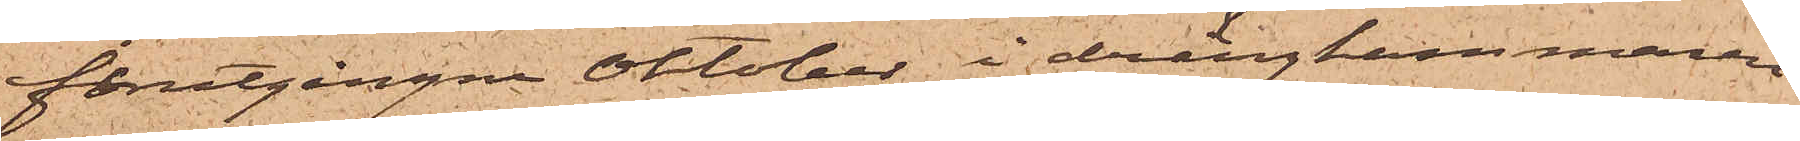förutgångne Oktober i drängkammaren
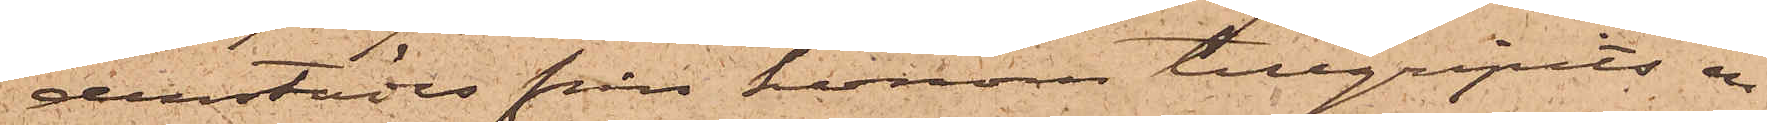derstädes från honom tillgripits en
